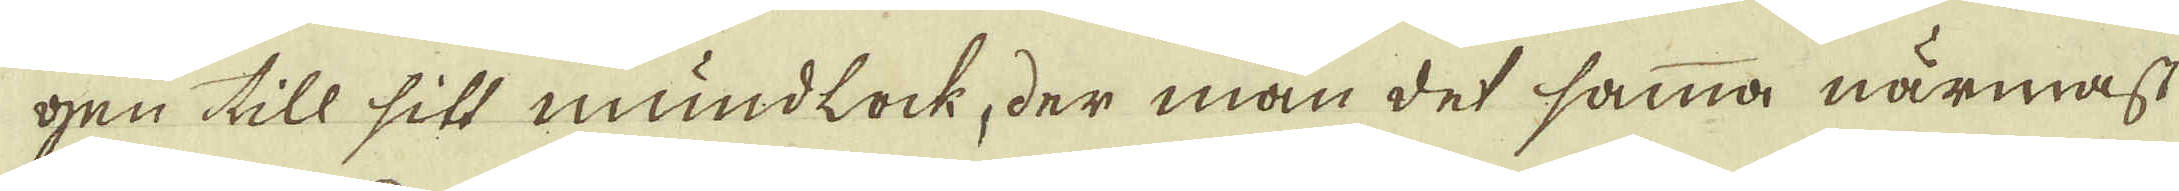gen till sitt mundlock, der man det samma närmast
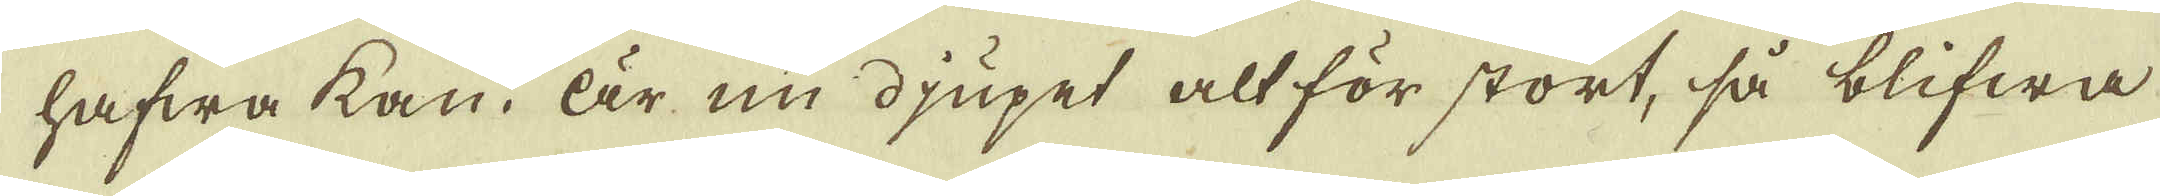hafwa kan. Är nu djupet alt för stort, så blifwa
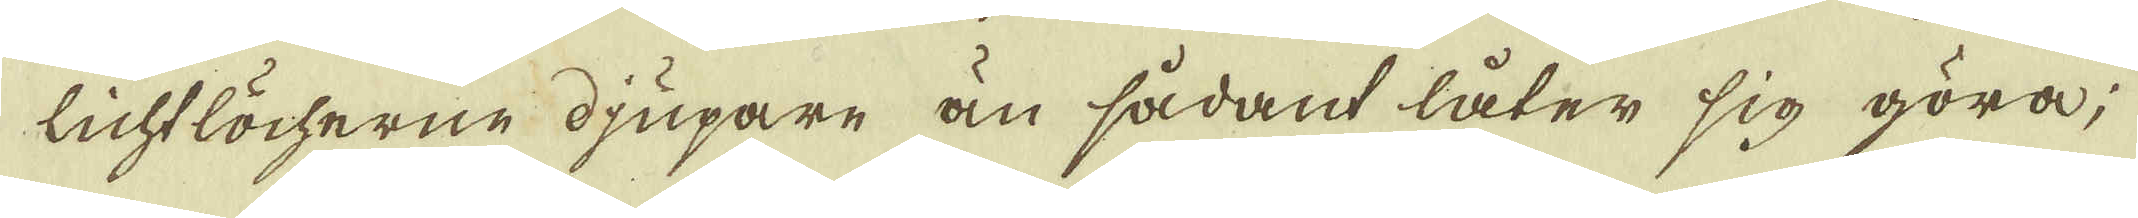lichtlöcherne djupare än sådant låter sig göra;
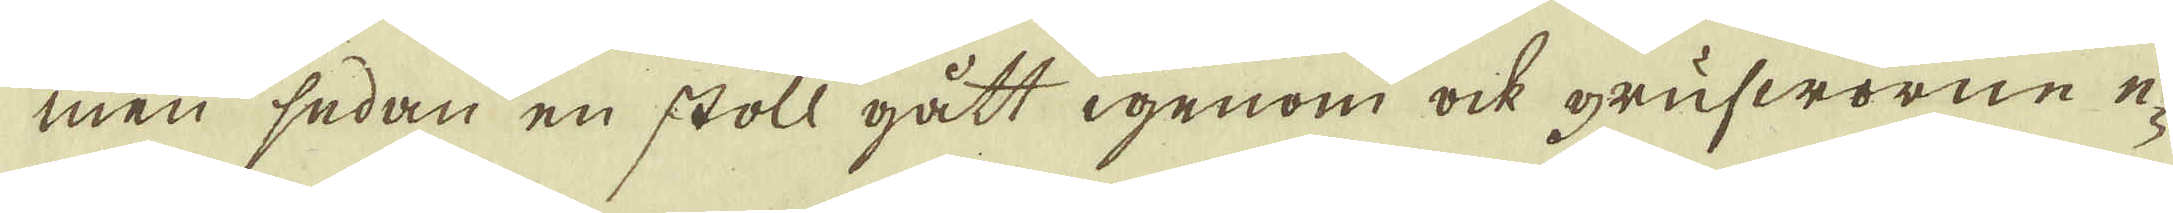men sedan en stoll gått igenom ock grufworne e-
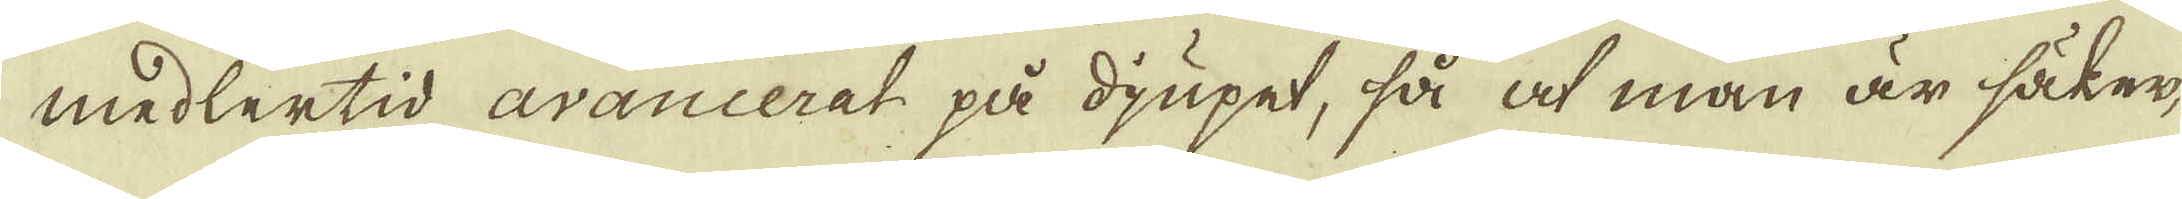medlertid avancerat på djupet, så at man är säker,
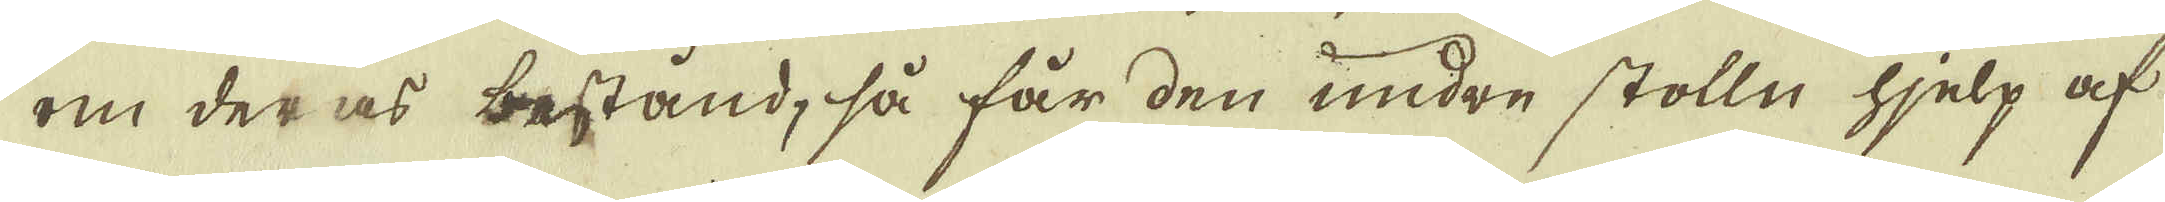om deras bestånd, så får den undre stolln hjelp af
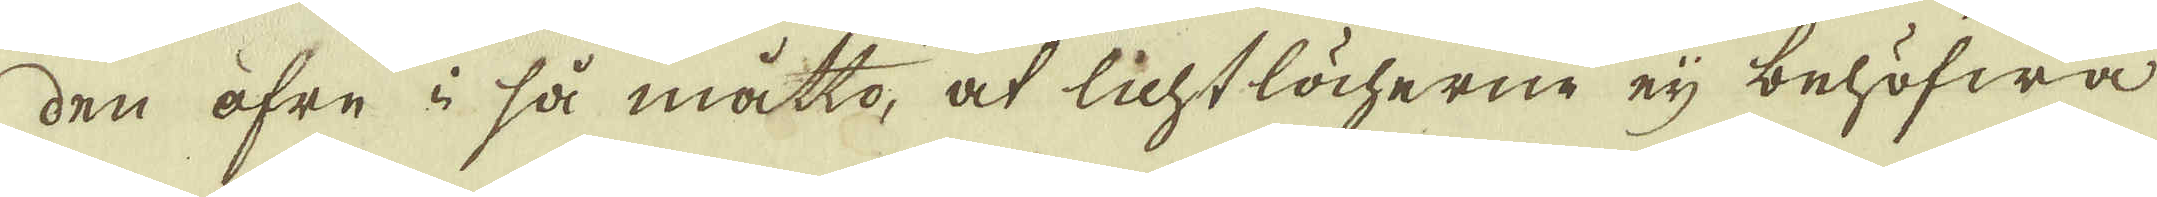den öfre i så måtto, at lichtlöcherne eij behöfwa
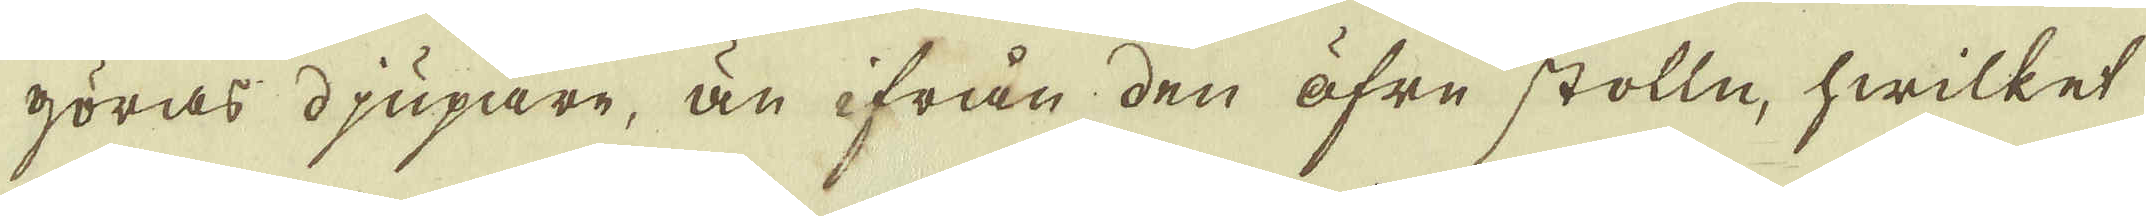göras djupare, än ifrån den öfre stolln, hwilket
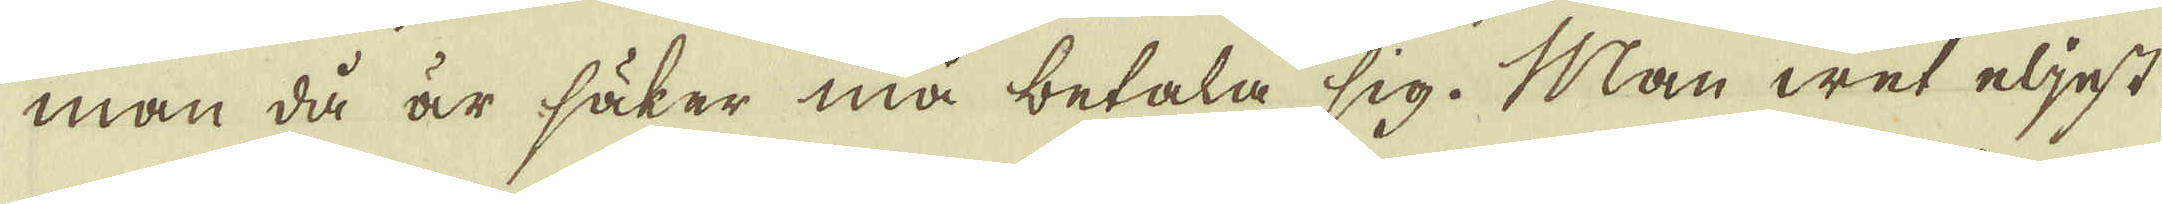man då är säker må betala sig. Man wet eljest
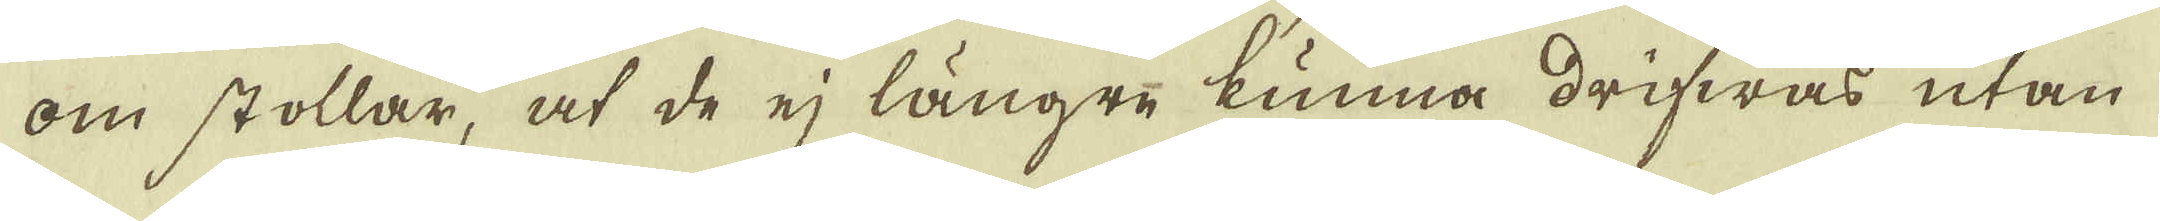om stollar, at de ej längre kunna drifwas utan
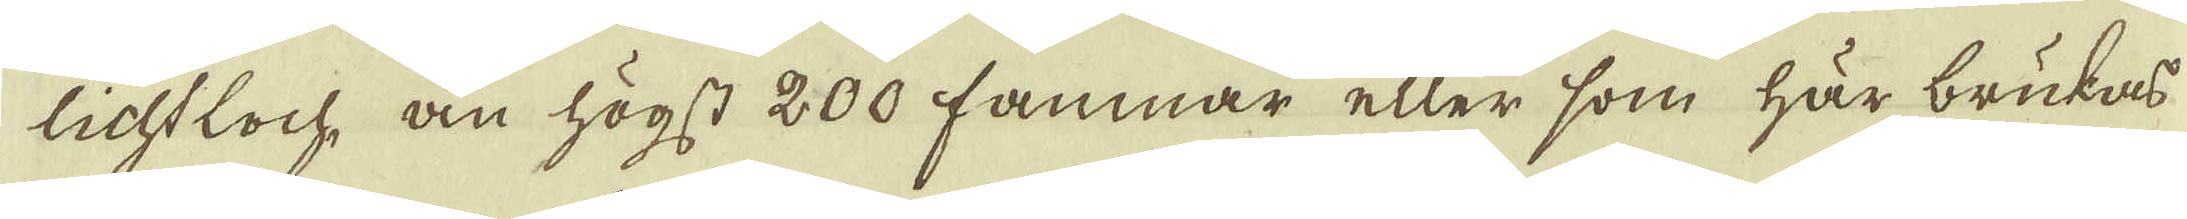lichtloch, än högst 200 famnar eller som här brukas
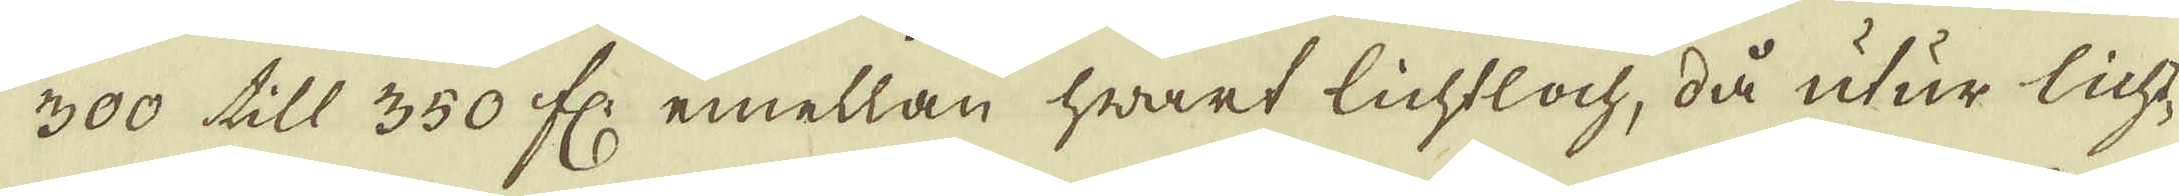300 till 350 fl: emellan hwart lichtloch, då utur licht-
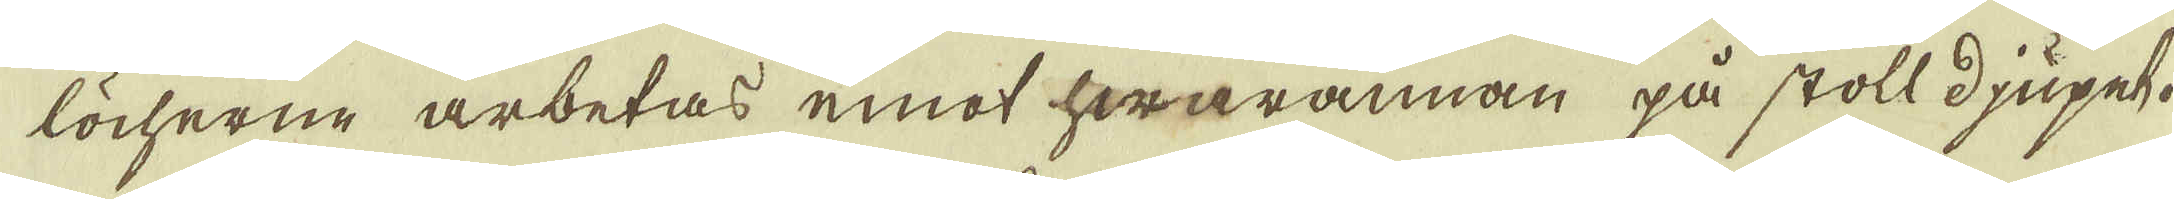löcherne arbetas emot hwarannan på stoll djupet.
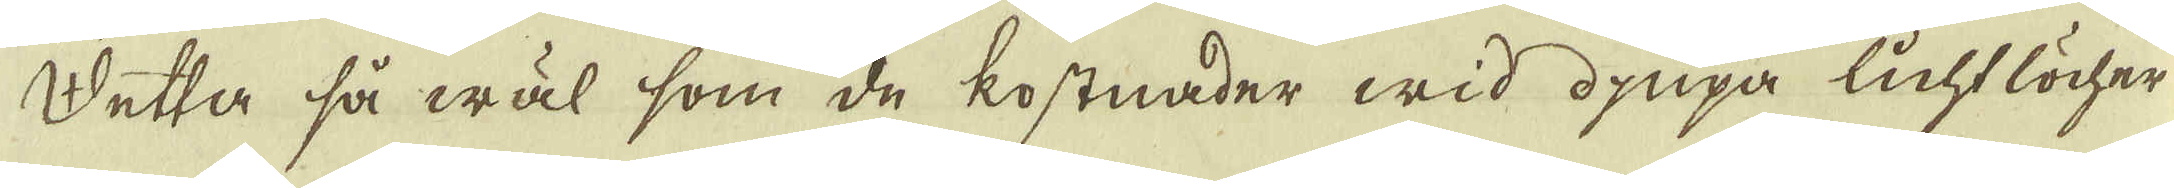Detta så wäl som de kostnader wid djupa lichtlöcher
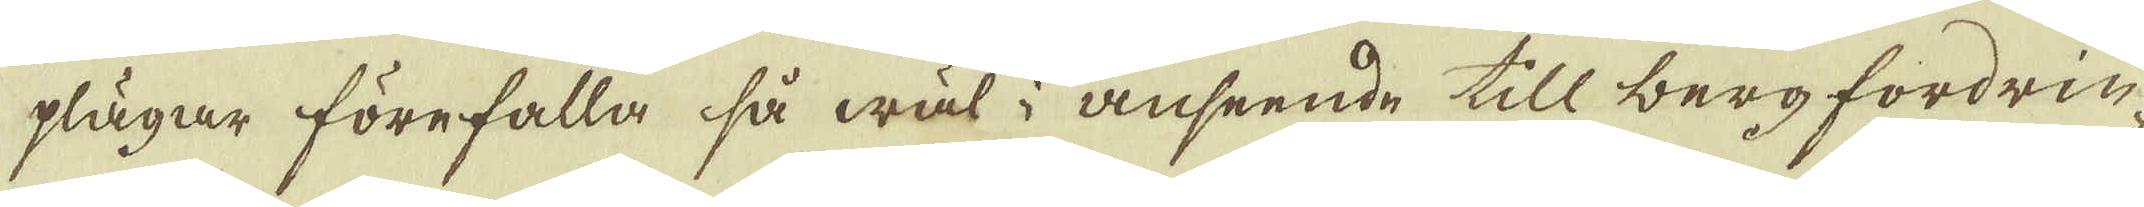plägar förefalla så wäl i anseende till berg fordrin-
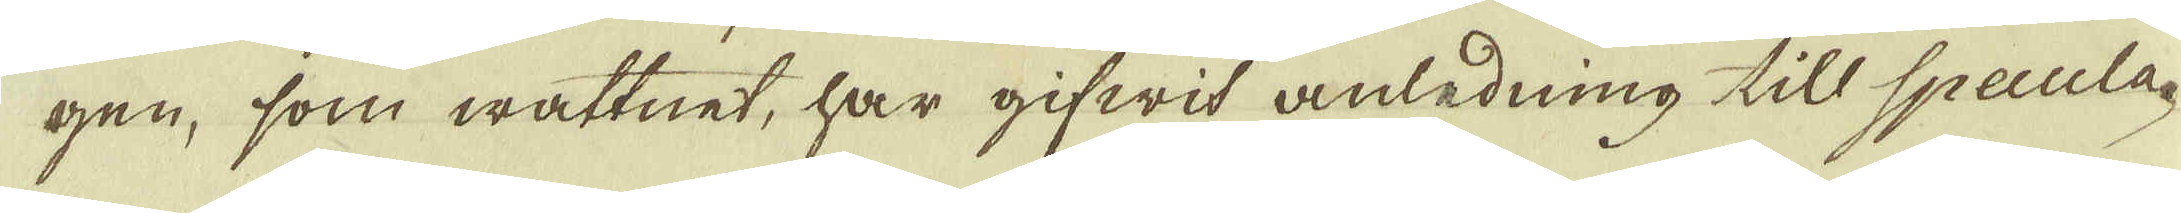gen, som wattnet, har gifwit anledning till Specula-
